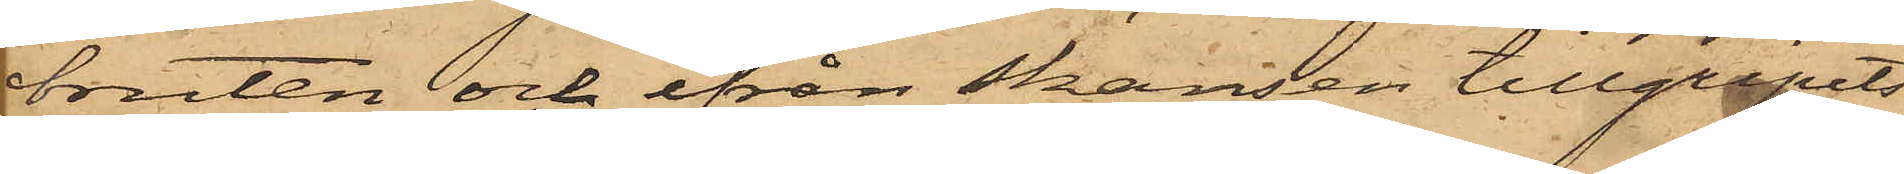bruten och ifrån skansen tillgripits
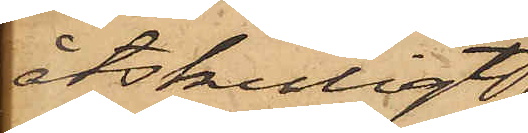åtskilligt
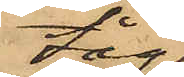tåg¬
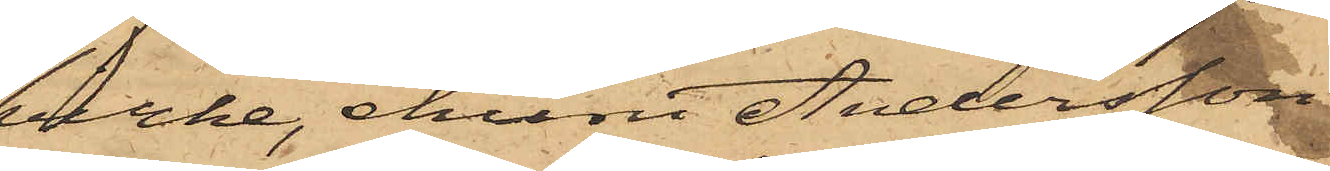virke, ehuru Andersson
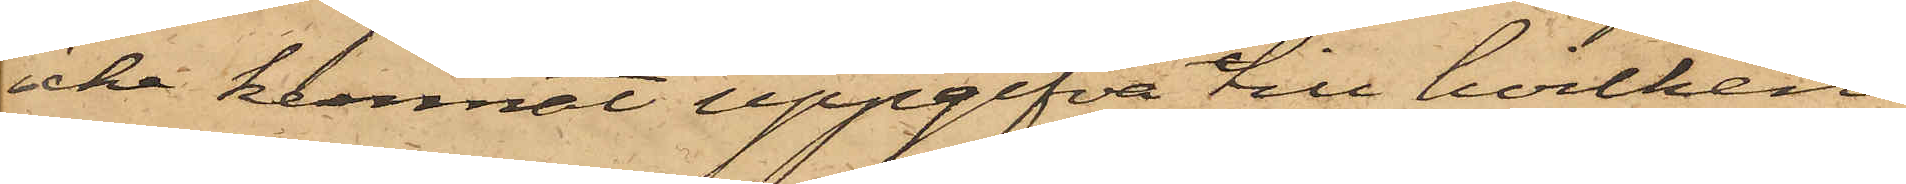icke kunnat uppgifva till hvilken
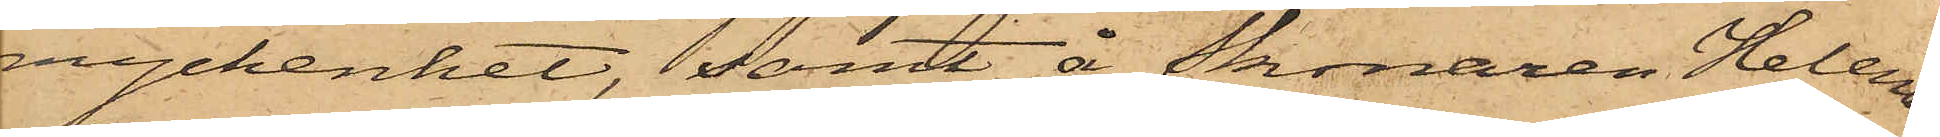myckenhet, samt å Skonaren Helena
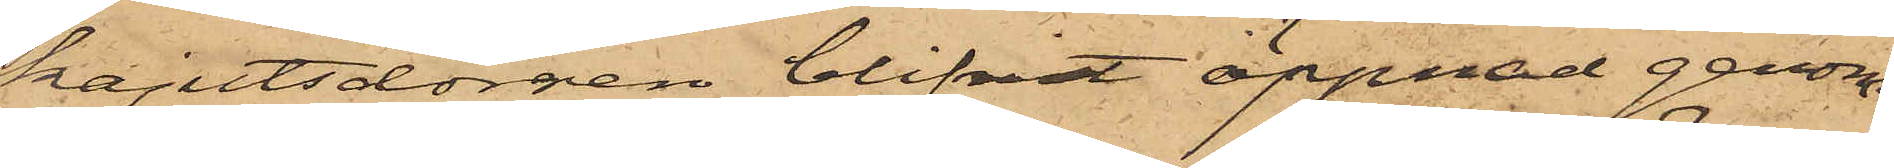kajutsdörren blifvit öppnad genom
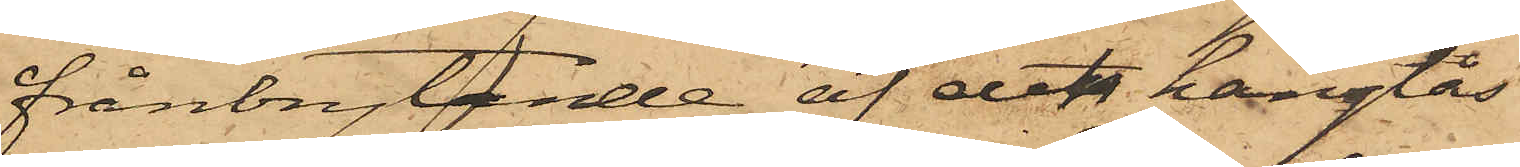frånbrytande af det hänglås
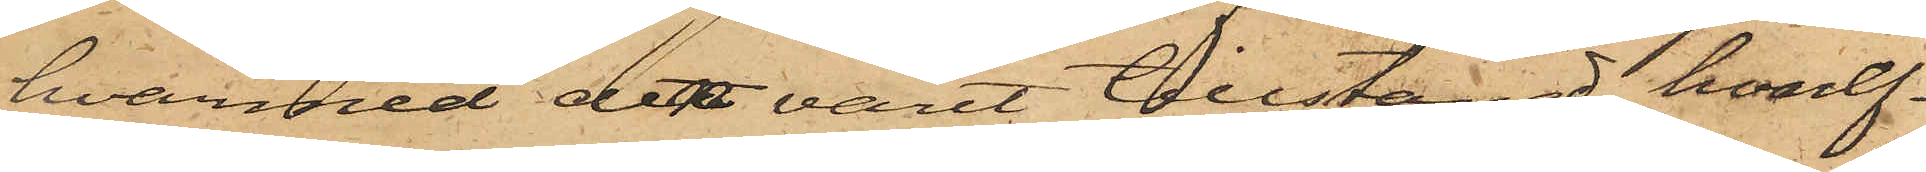hvarmed den varit tillstängd, hvaref¬
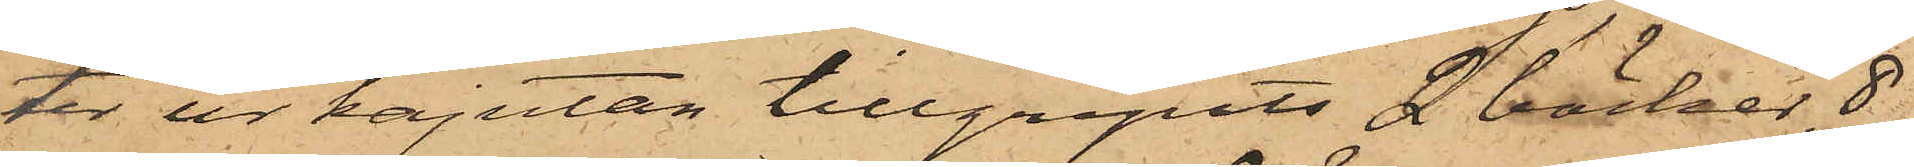ter ur kajutan tillgripits 2 böcker, 8
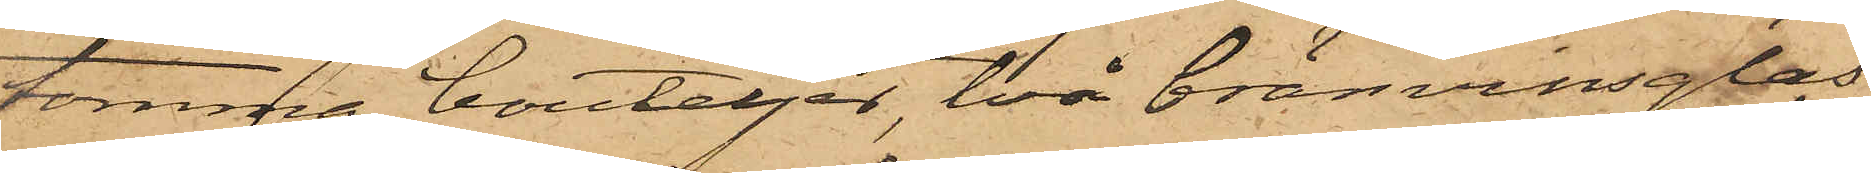tomma bouteljer, två bränvinsglas
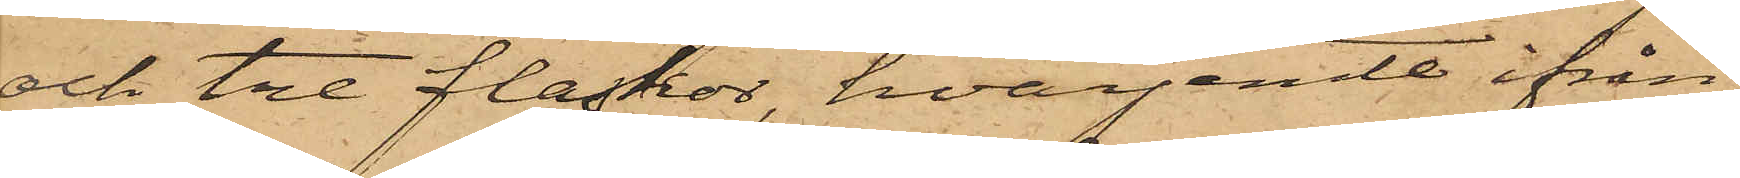och tre flaskor, hvarjemte ifrån
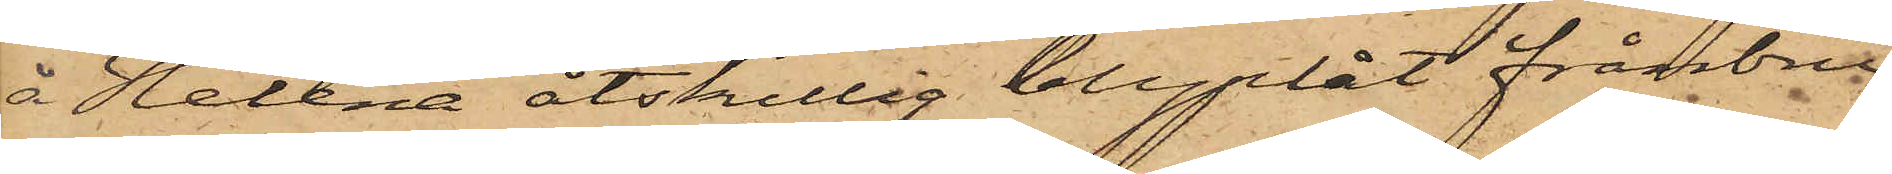å Helena åtskillig blyplåt frånbru¬
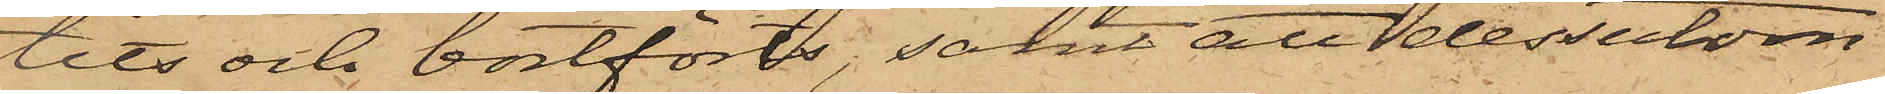tits och bortförts; samt att dessutom
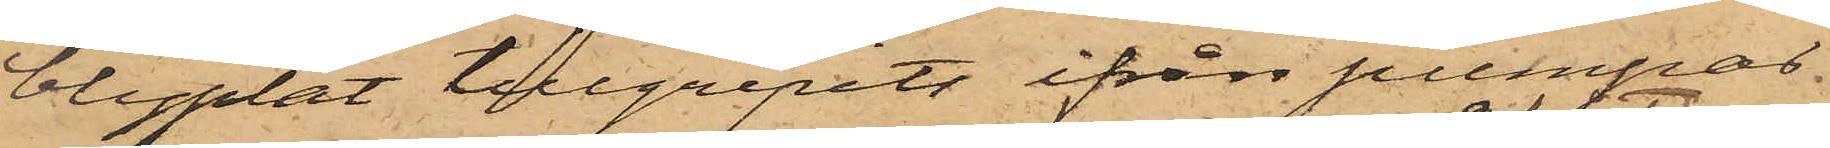blyplåt tillgripits ifrån pumpar
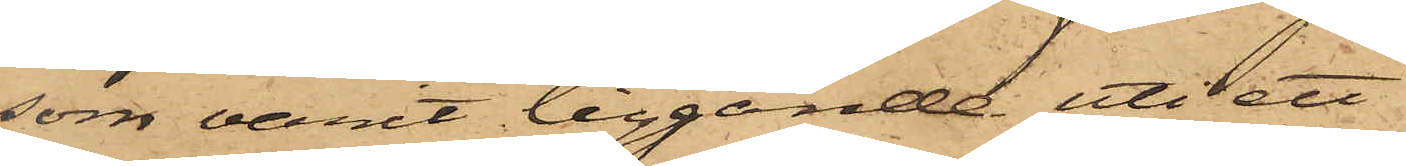som varit liggande uti ett
